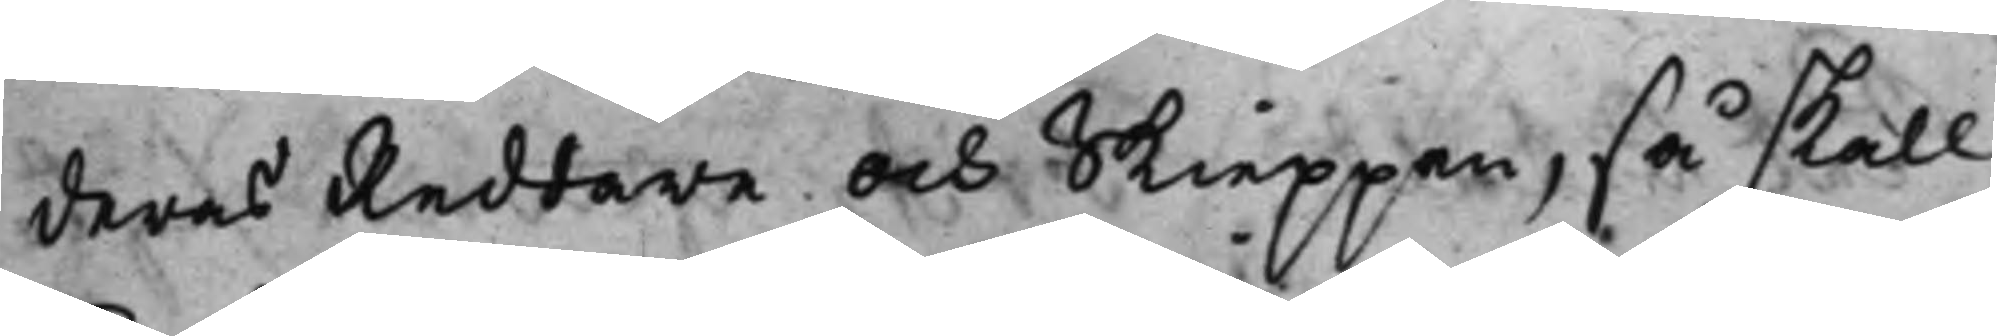deras Reddare och Skieppen, så skall
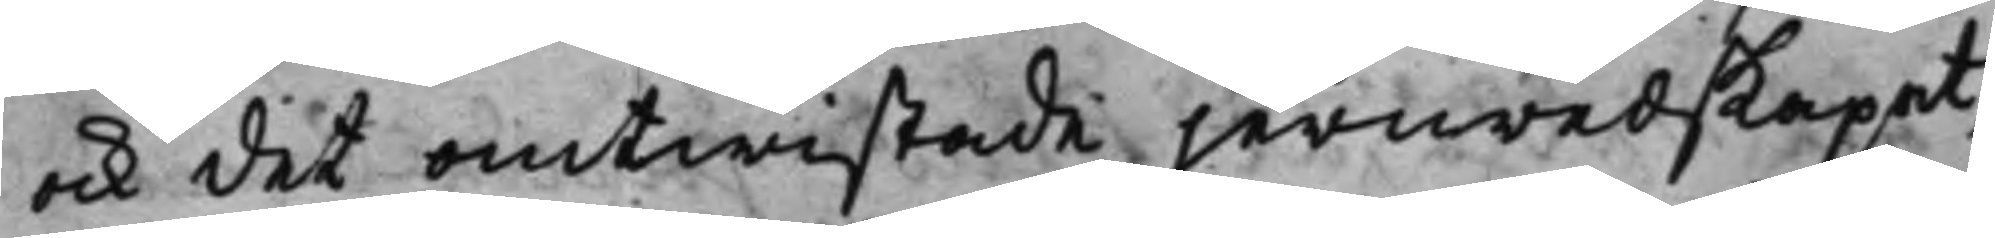ock det omtwistade jernredskapet,
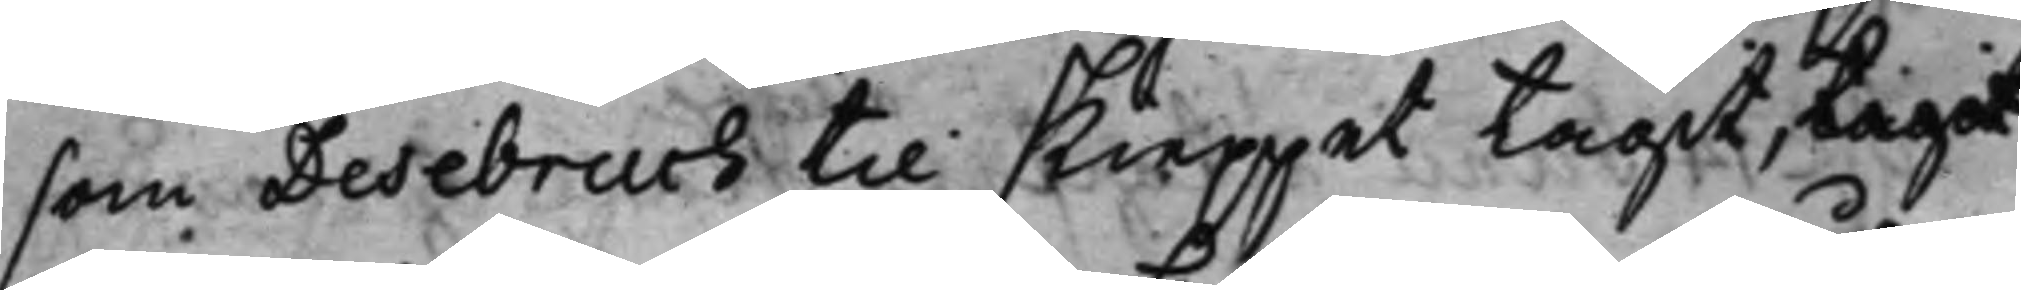som Desebruch til skieppet tagit, tagit
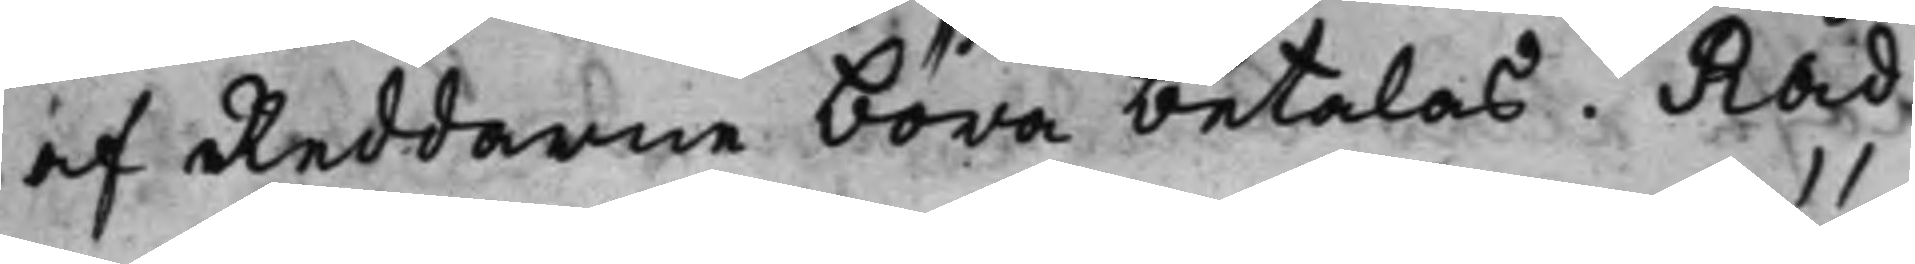af Reddarne böra betalas. Råd¬
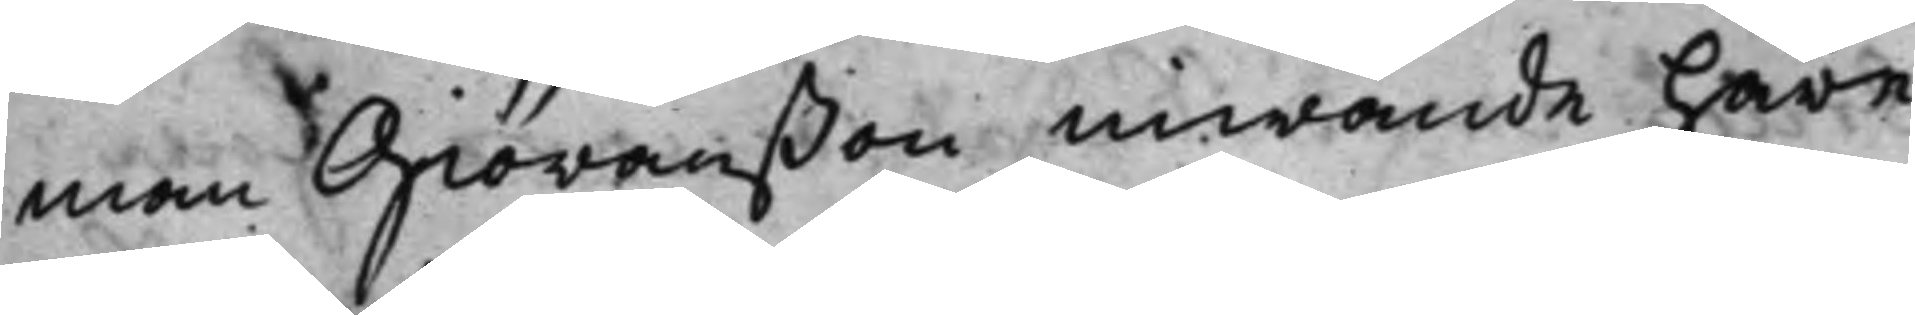man Giöranßon inwände häre¬
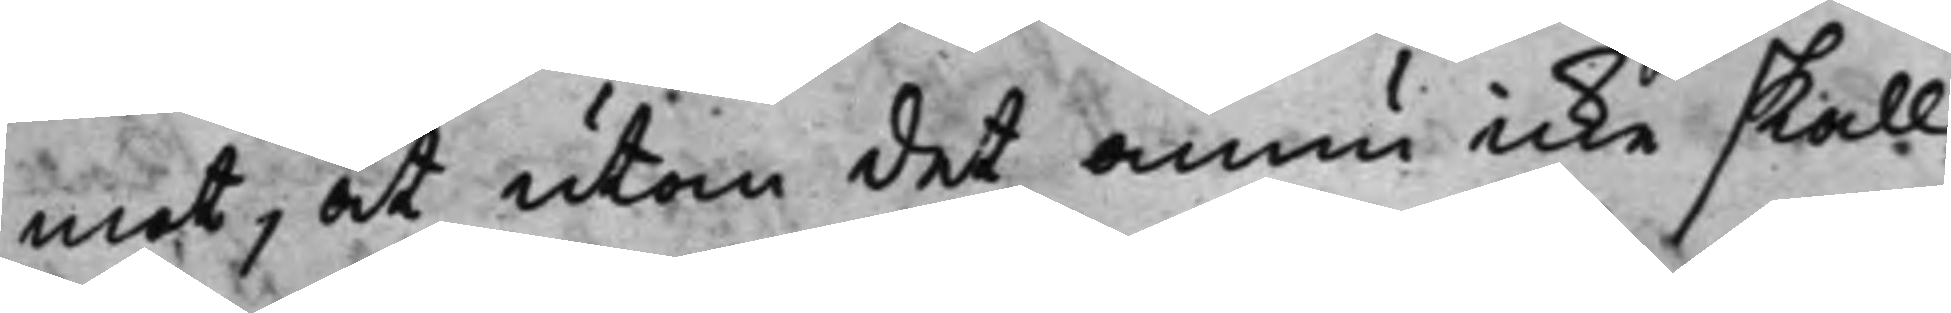mot, at utom det annu icke skall
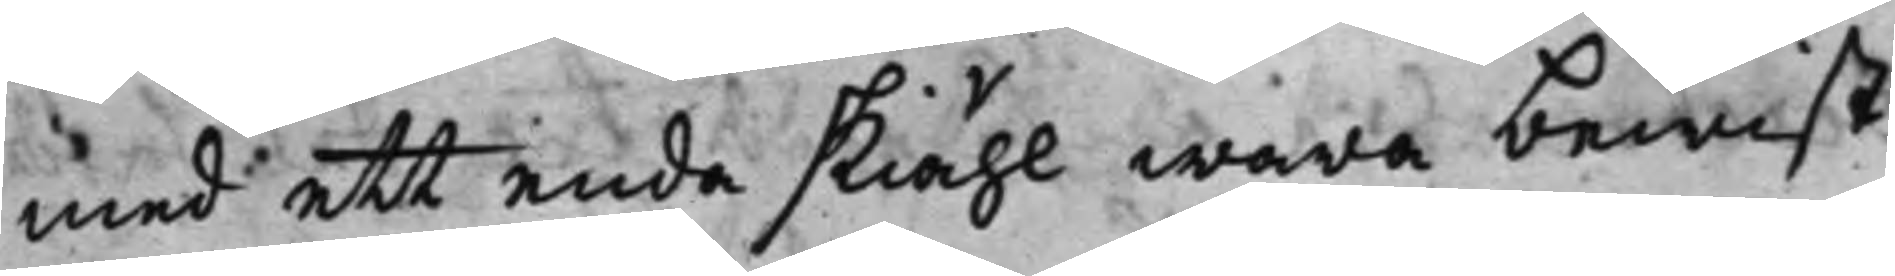med ett enda skiähl wara bewist,
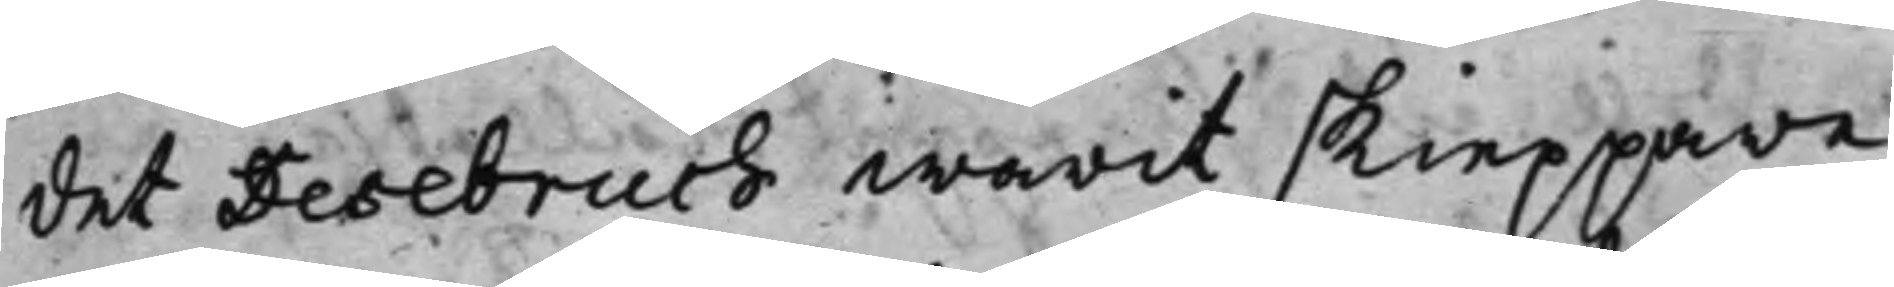det Desebruch warit skieppare,
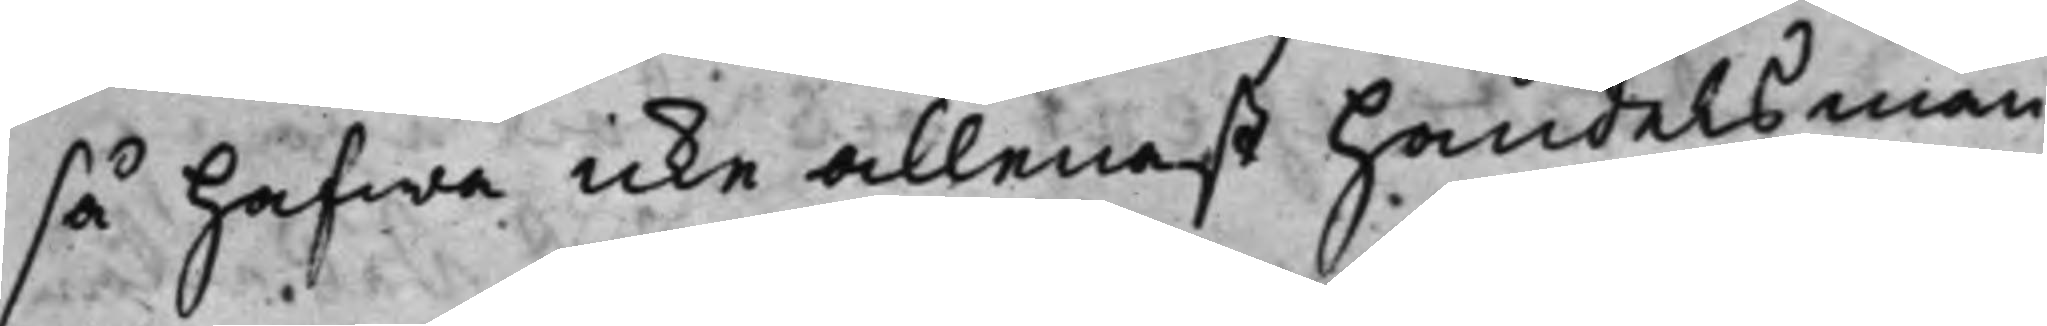så hafwa icke allenast handelsmän¬
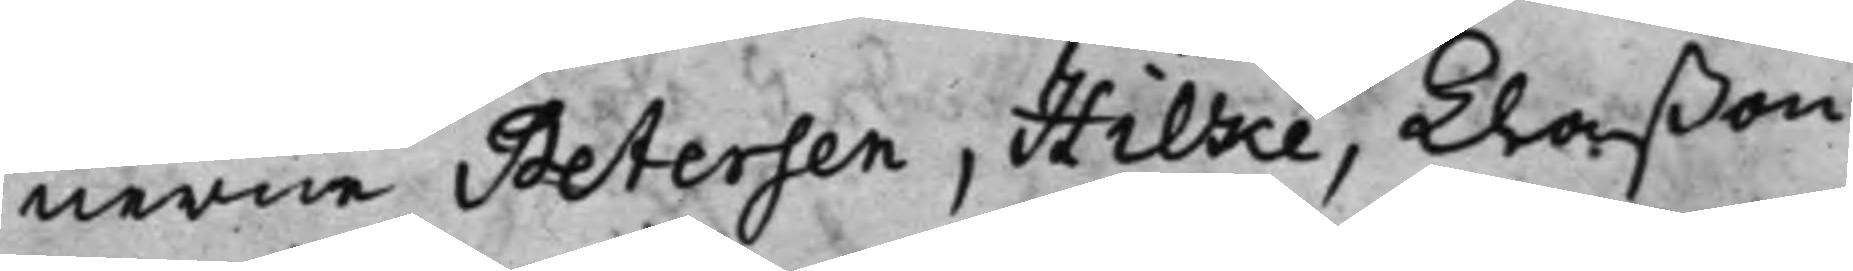nerne Petersen, Hilke, Klaßon,
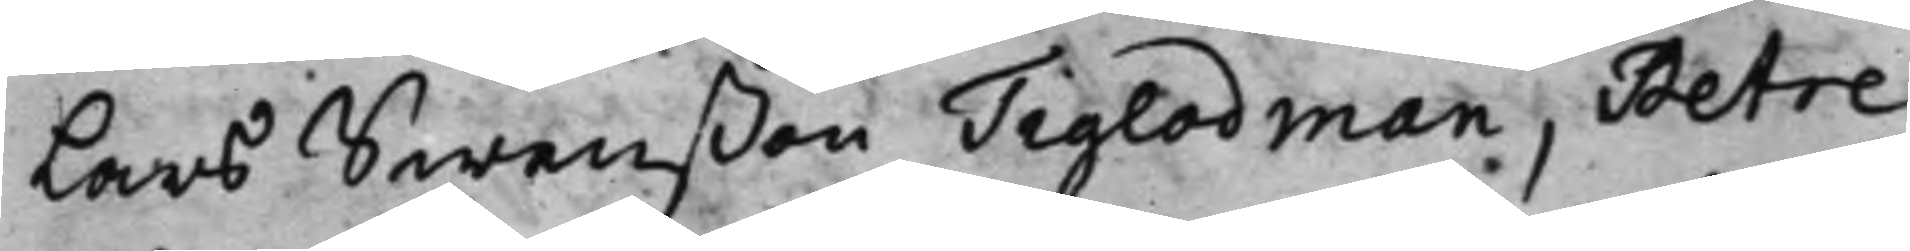Lars Swenßon, Tiglodman, Petre;
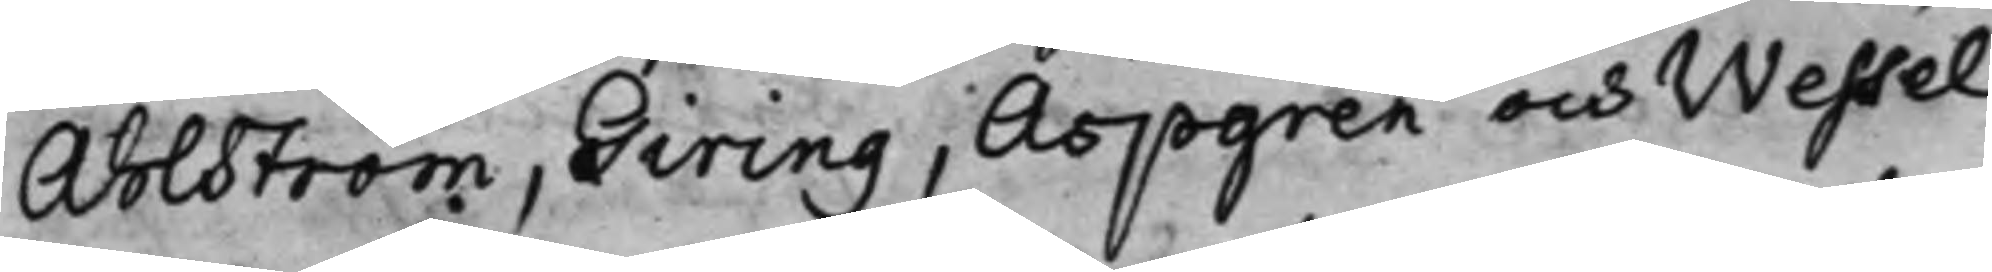Ahlström, Giring, Aspgren och Wessel
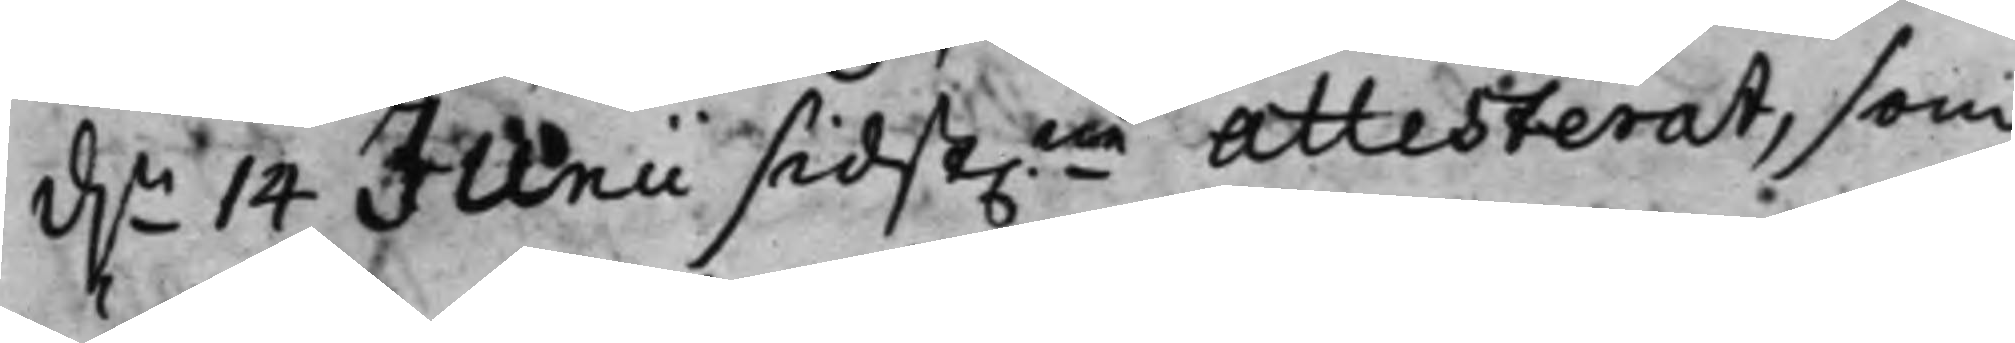d.n 14 Junii sidst.ne Attesterat, som
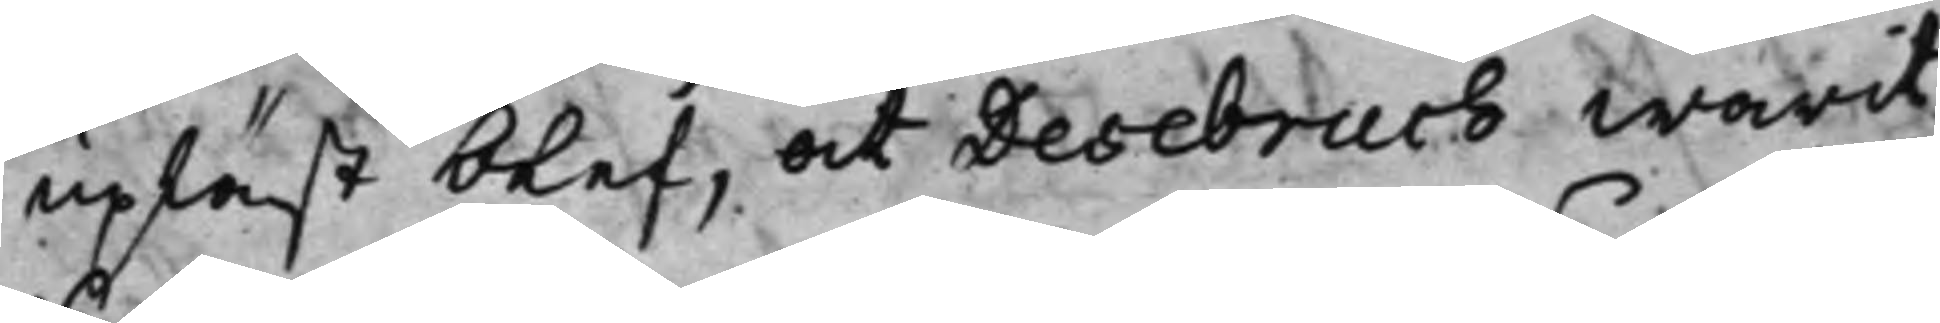upläst blef, at Desebruch warit
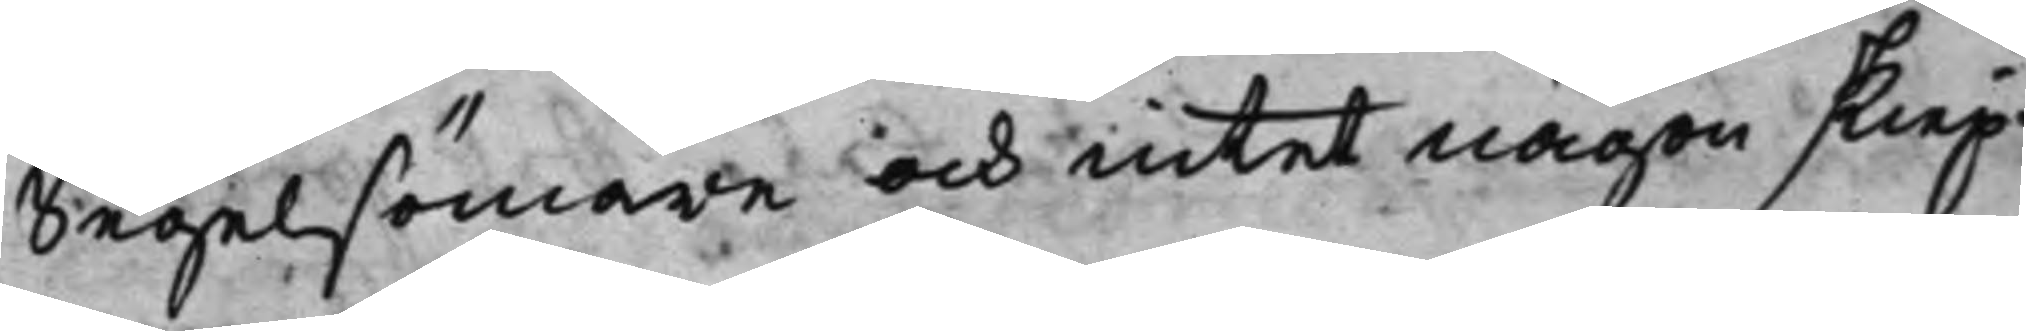Segelsömare och intet någon skiep¬
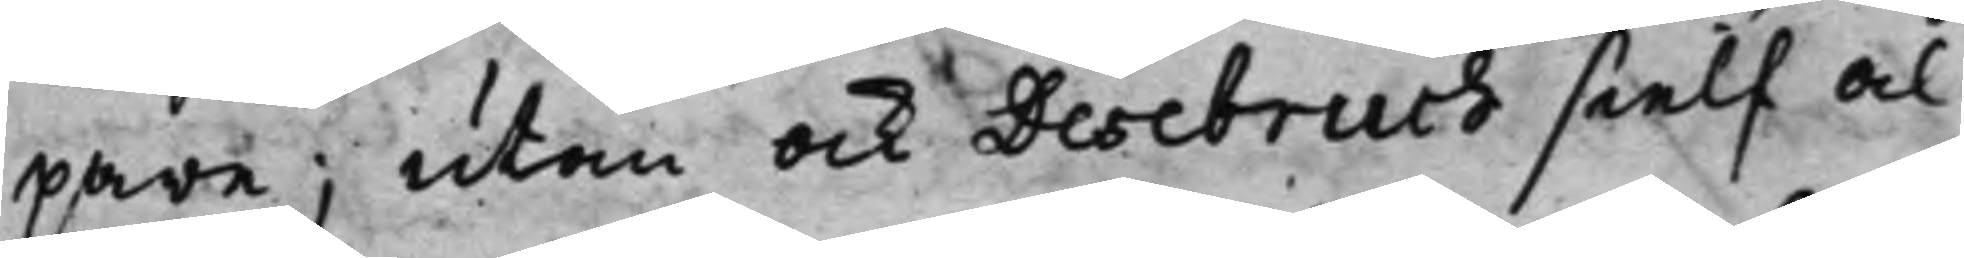pare; utan ock Desebruch sielf al¬
